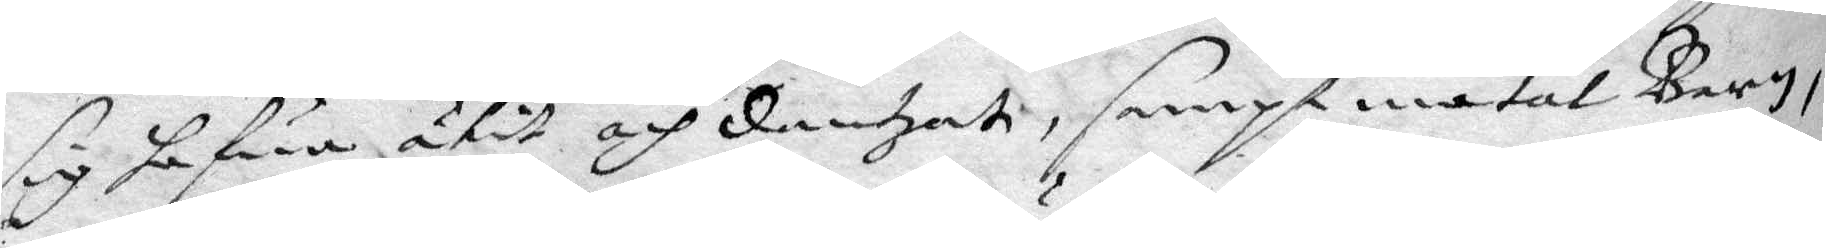sig hafwa ätit, och dantzadt, sampt matat Barn,
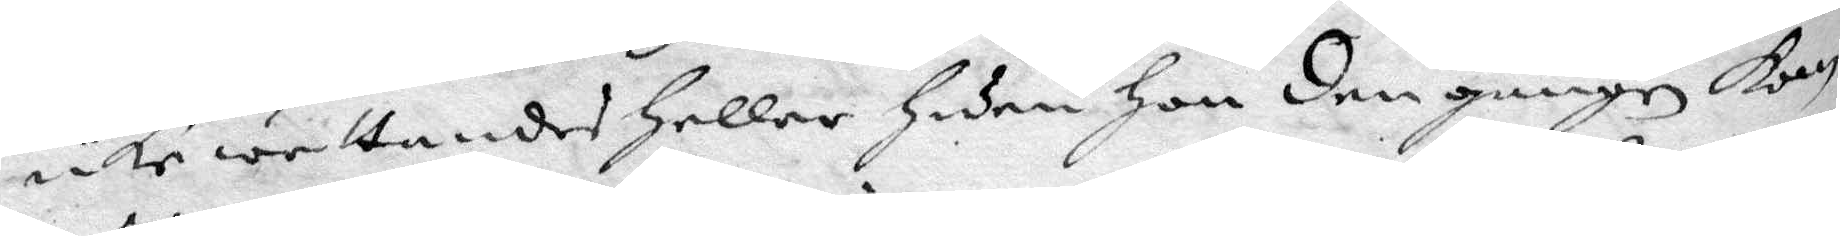icke wettandes heller huru han den gången kom
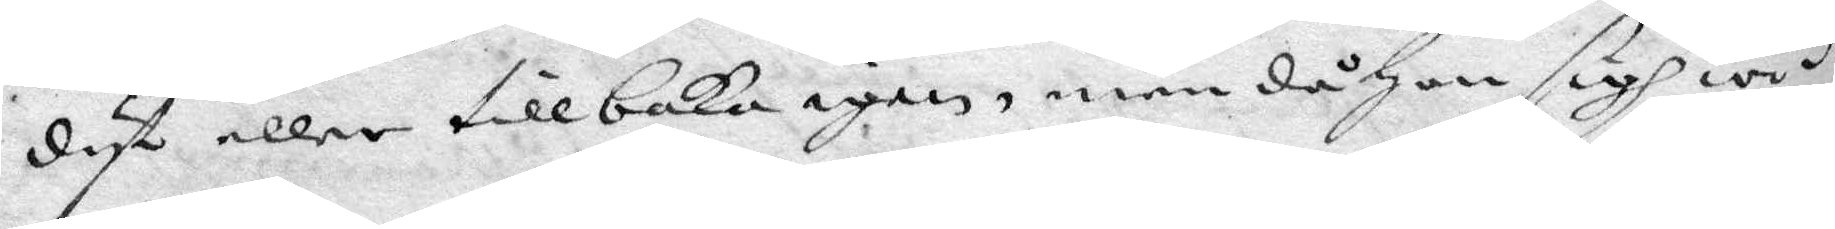dyt eller tillbaka igen, men då hon sigh wid
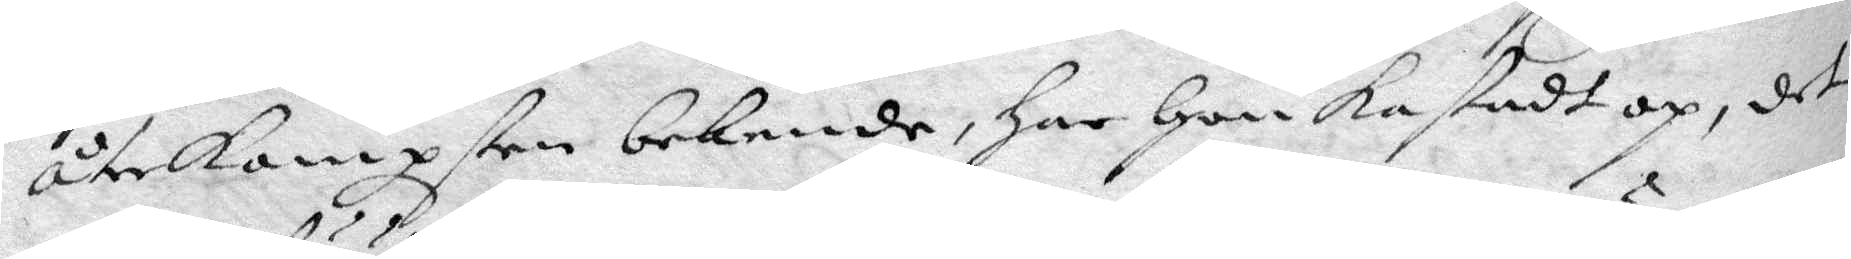återkompsten bekende, har hon kastadt op, det
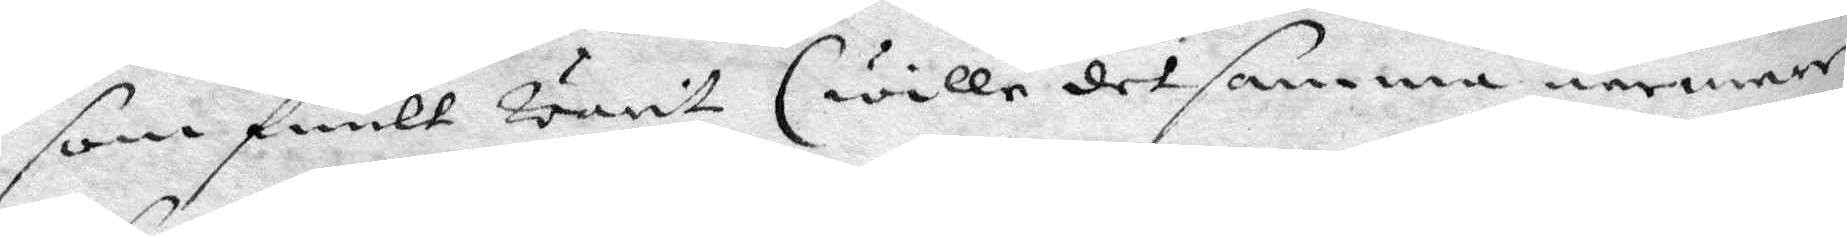som fuult warit, (wille det samma närmare
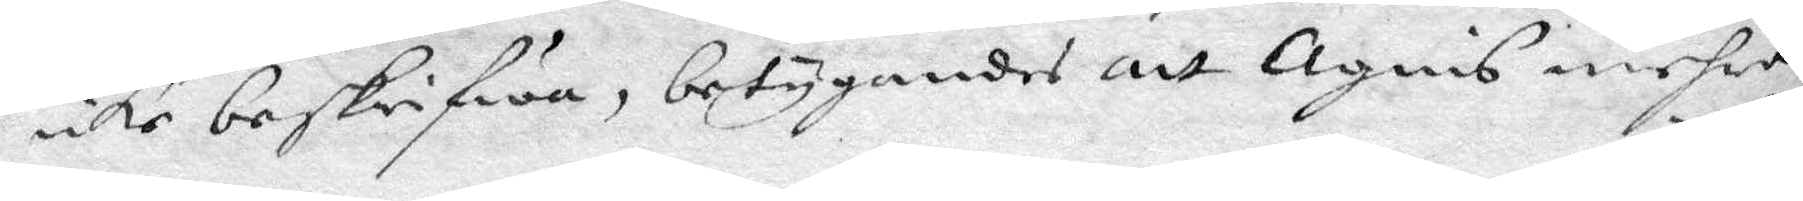icke beskrifwa, betygandes att Agnis mehra
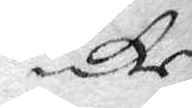icke
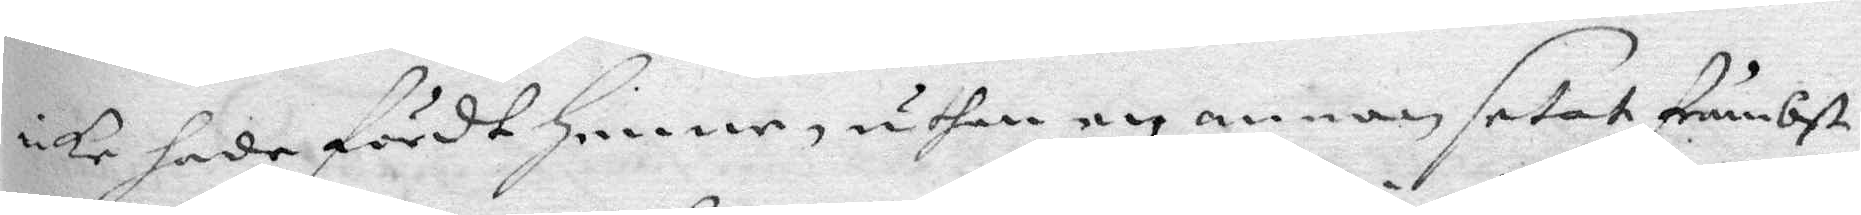icke hade fördt henne, uthan en annan setat Främbst
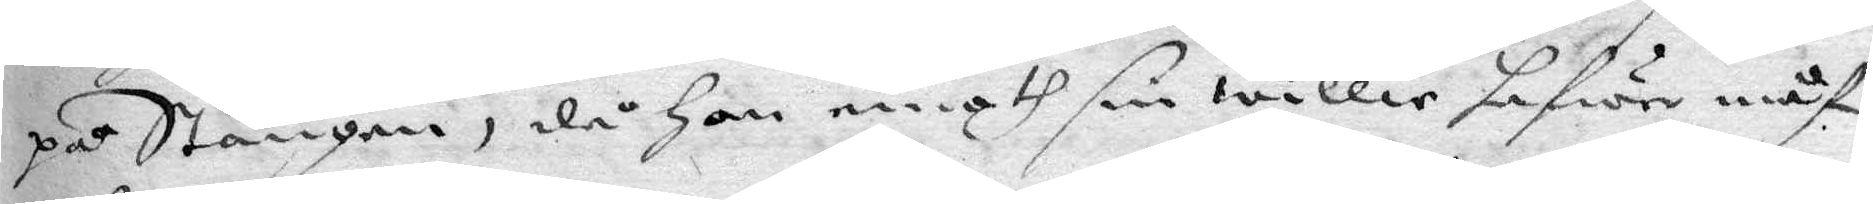på Stången, då hon emoth sin willie hafwer måst
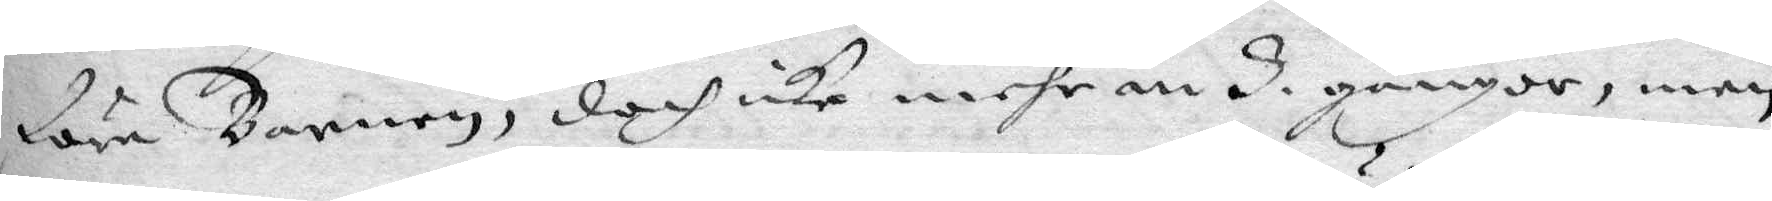föra Barnen, doch icke mehr än 8 gånger, men
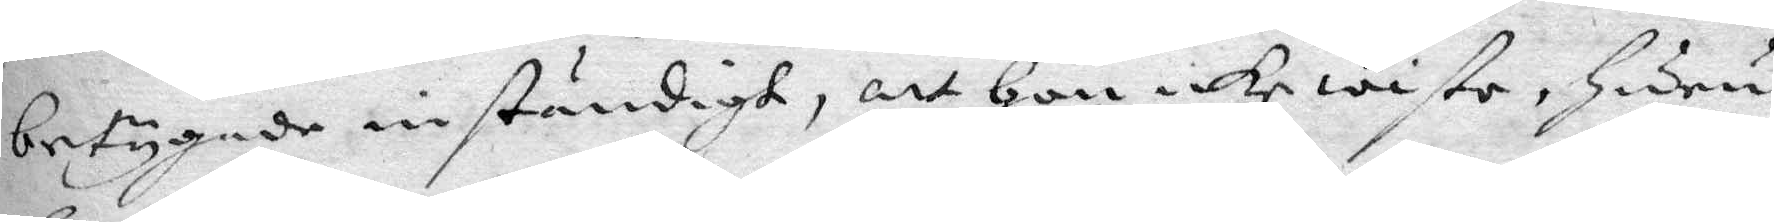betygade inständiggt, att hon icke wiste, huru
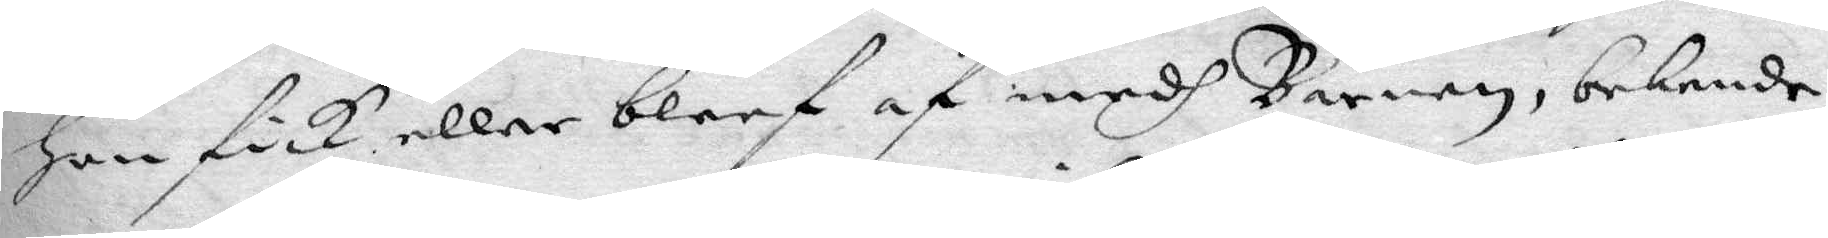hon fick eller bleef af medh Barnen, bekende
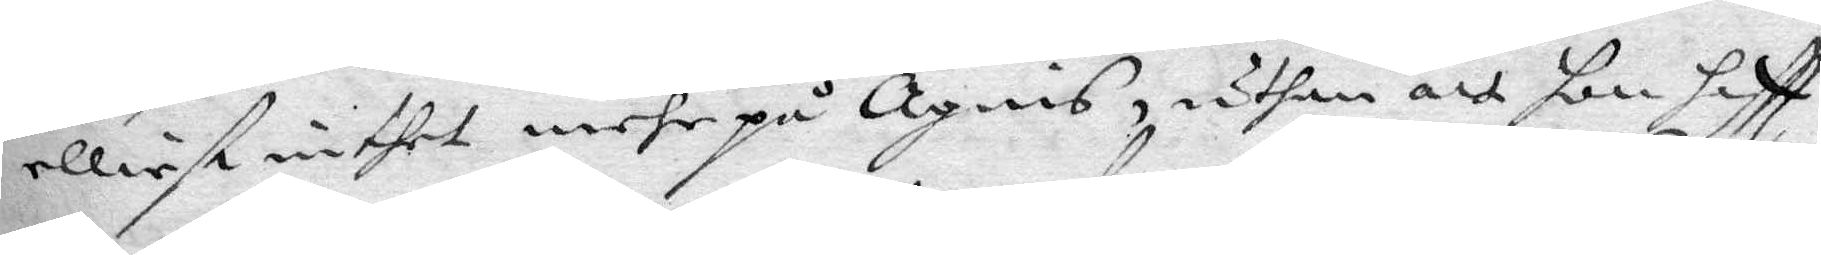elliest inthet mehr på Agnis, uthan att hon haftt
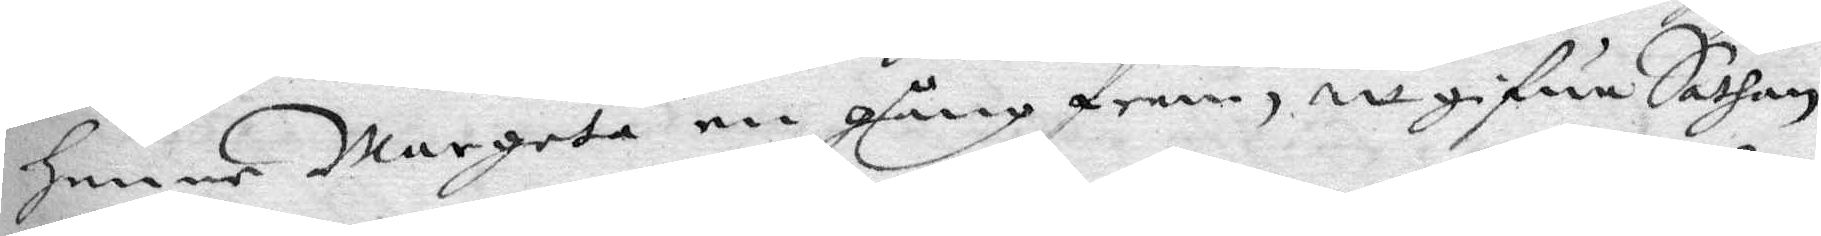henne Margeta en gång fram, att gifwa Sathan
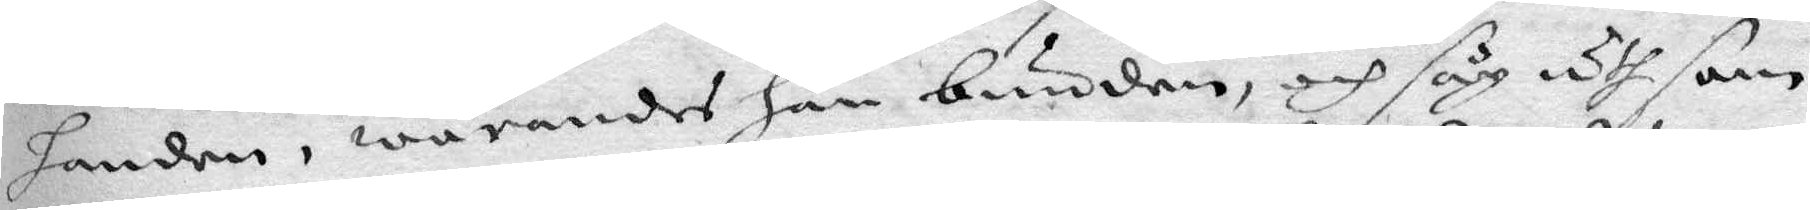handen, warandes han bunden, och såg uth som
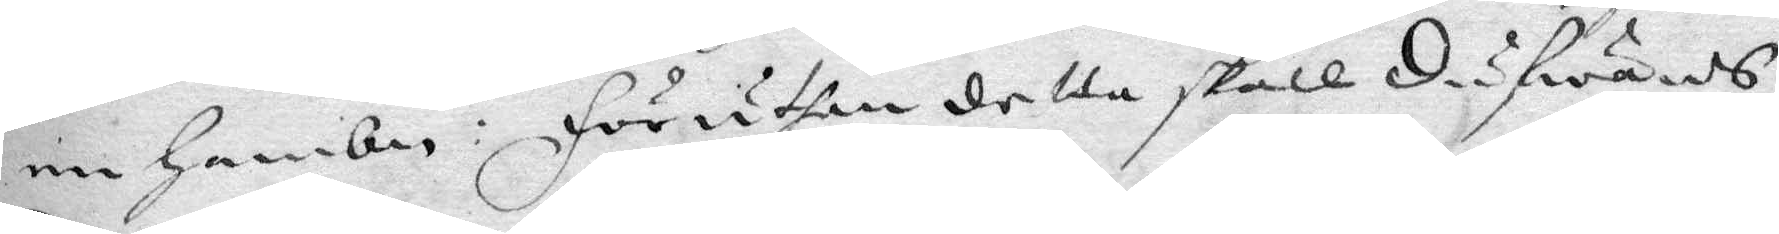en hambn: Föruthan detta skall Dufwands
